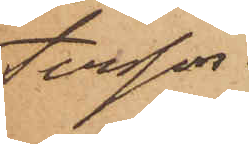tersson.
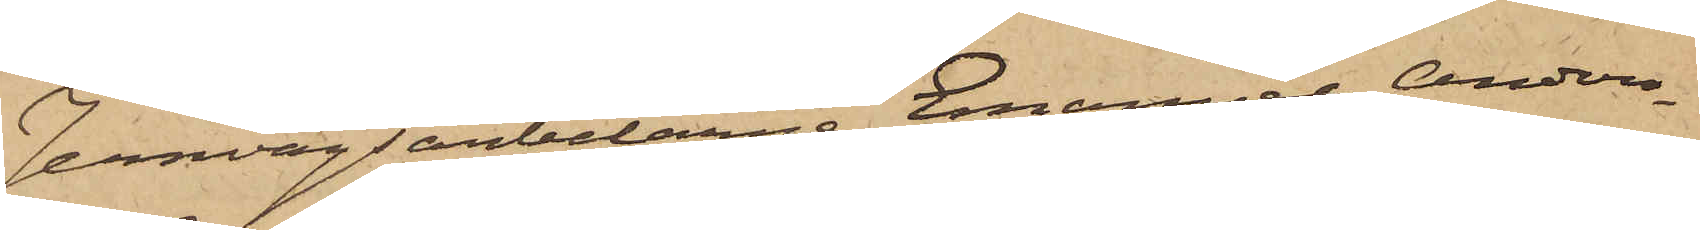Jernvägsarbetarna Emanuel Anders¬
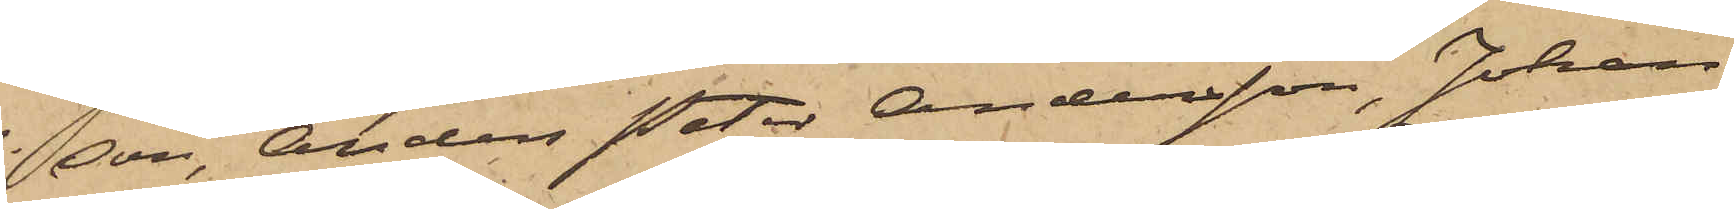son, Anders Peter Andersson, Johan
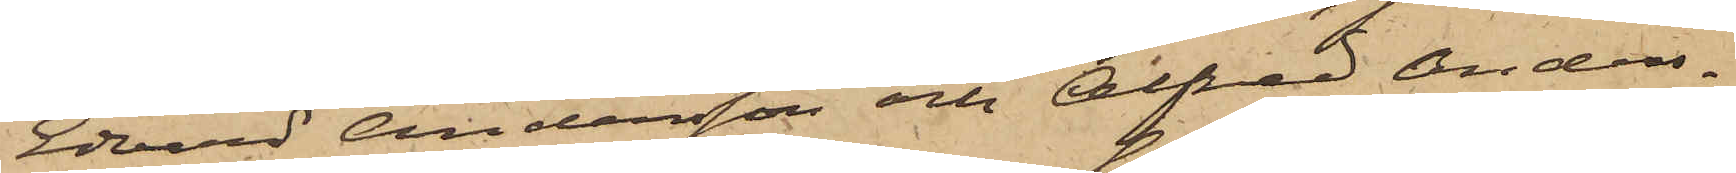Edvard Andersson och Alfred Anders¬
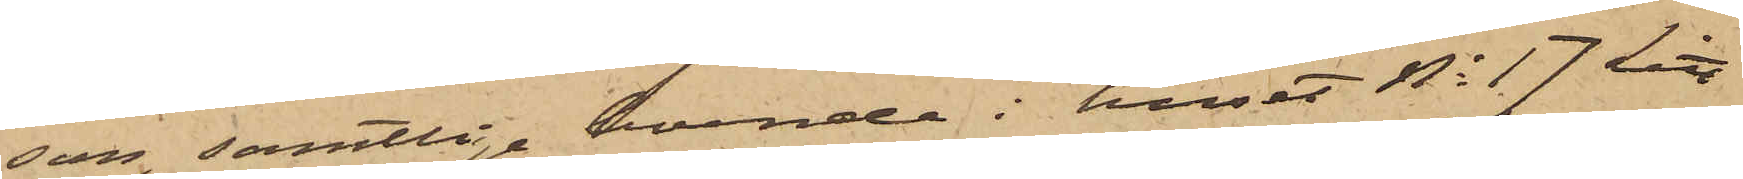son, samtlige boende i huset No 17 Litt
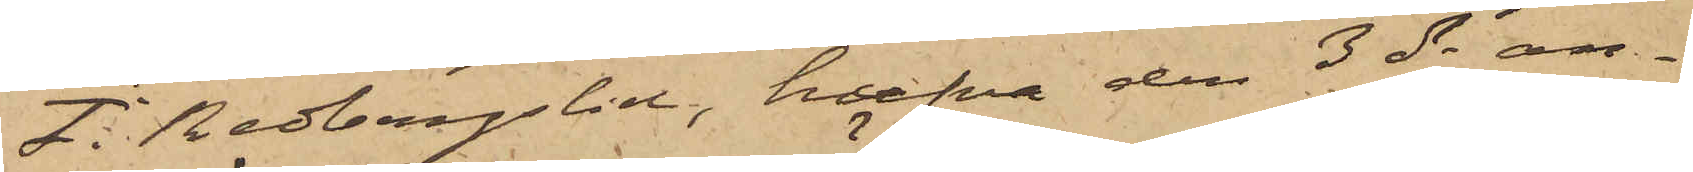F i Redbergslid, hafva den 3 ds an¬
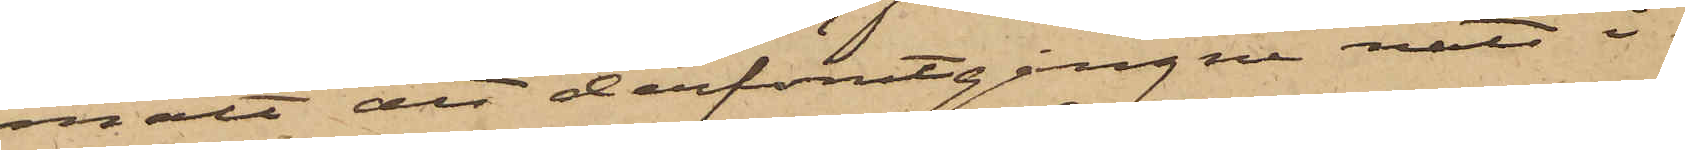mält att derförutgångne natt i
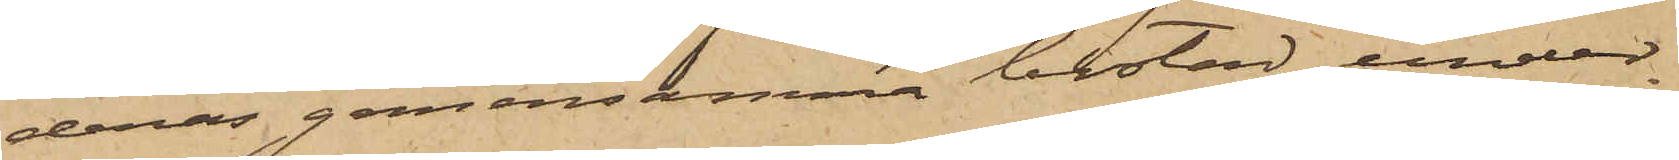deras gemensamma bostad, under
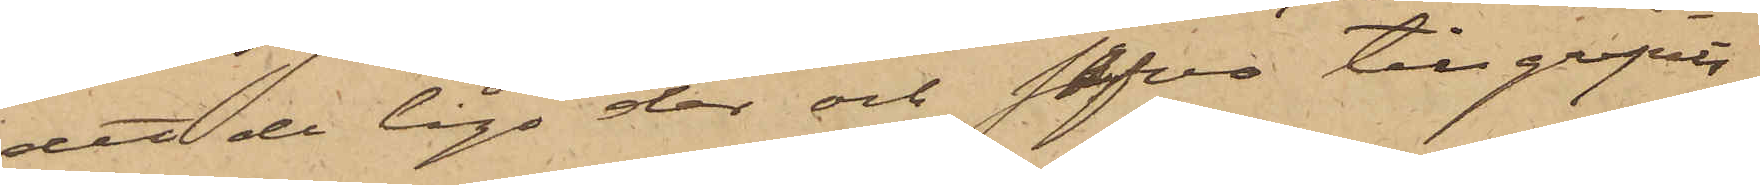det de lågo der och sofvo tillgripits
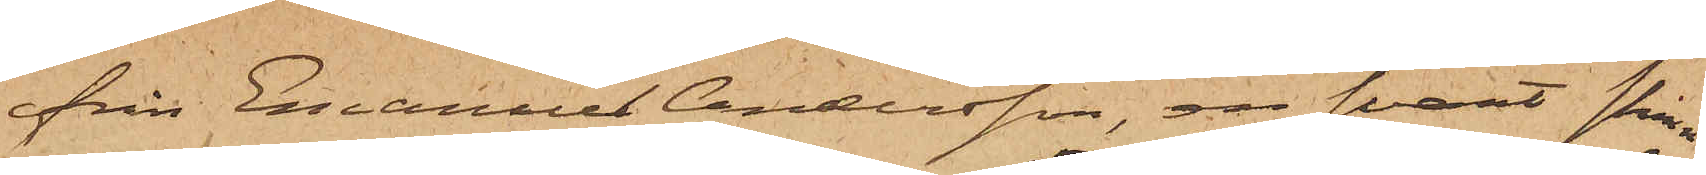från Emanuel Andersson, en svart skinn¬
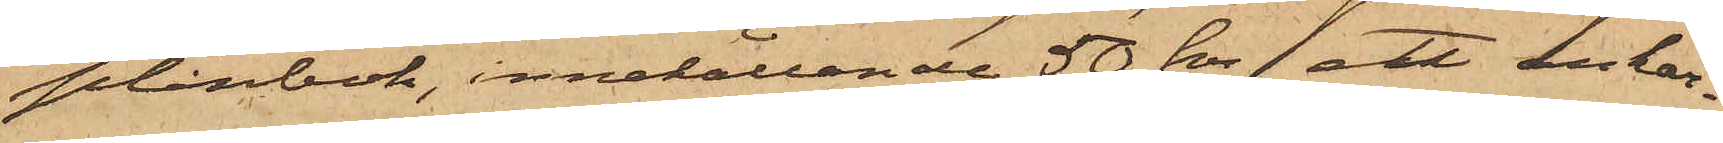plånbok, innehållande 50 kr ett ankar¬
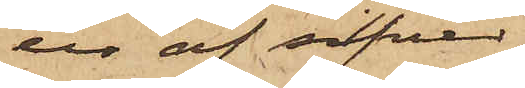ur af silfver,
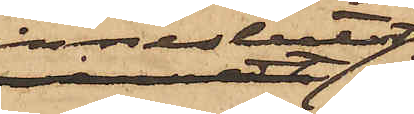inneslutet
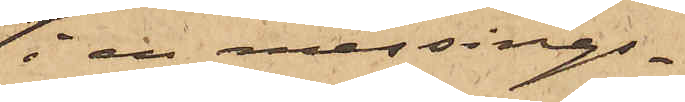i en messings¬
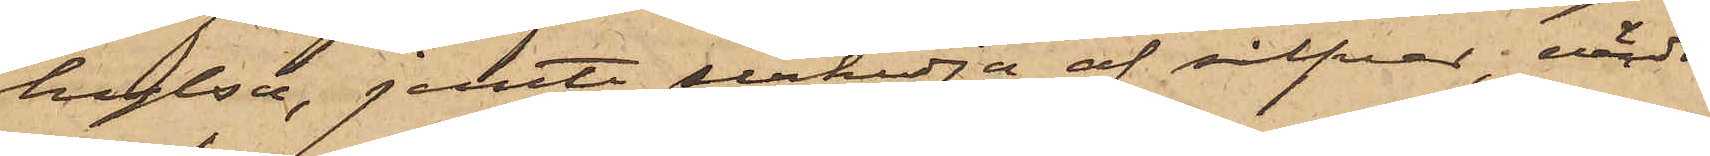hylsa, jemte urkedja af silfver, värdt
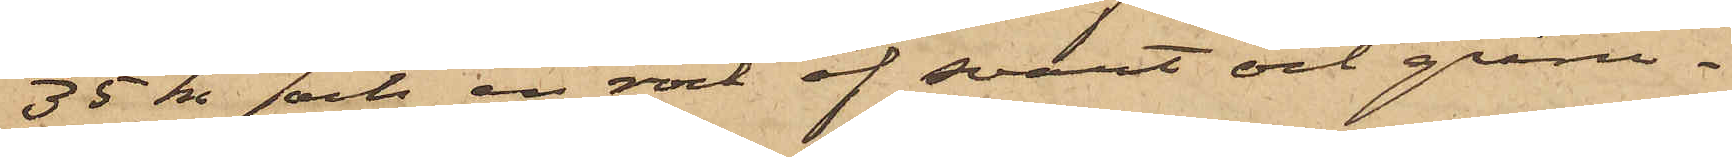35 kr och en rock af svart och gråru¬
